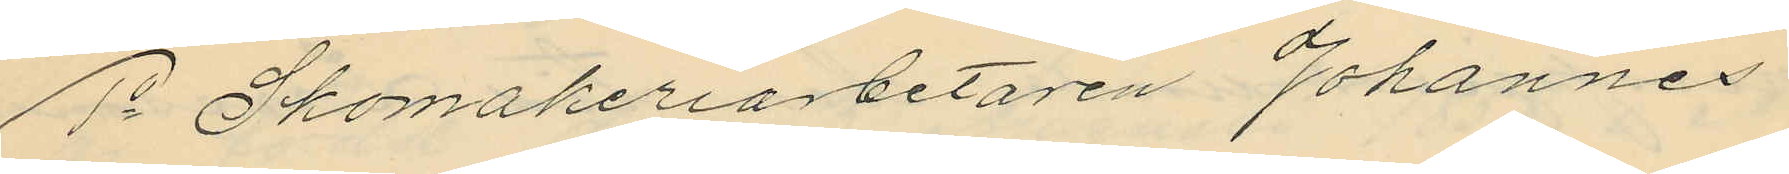1o Skomakeriarbetaren Johannes
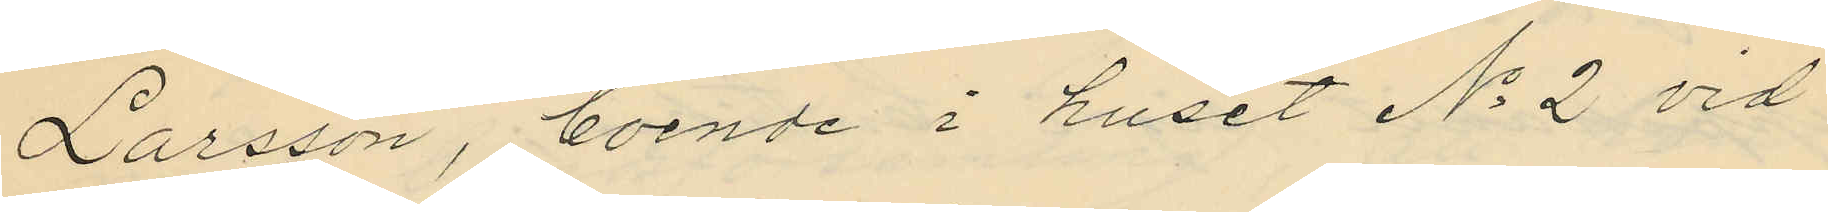Larsson, boende i huset No 2 vid
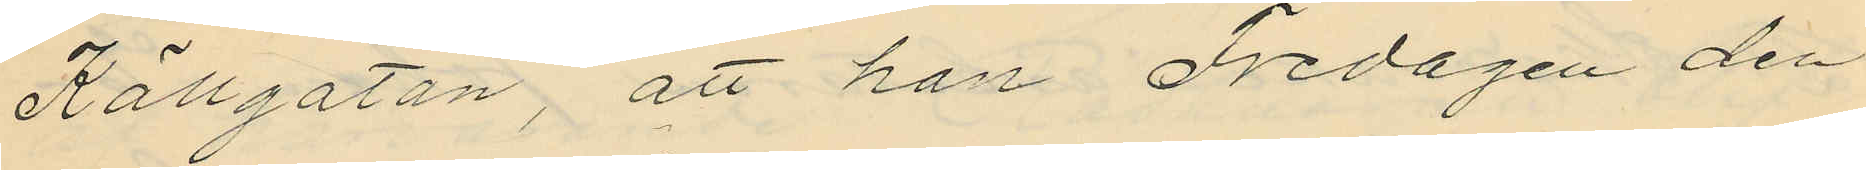Källgatan, att han Fredagen den
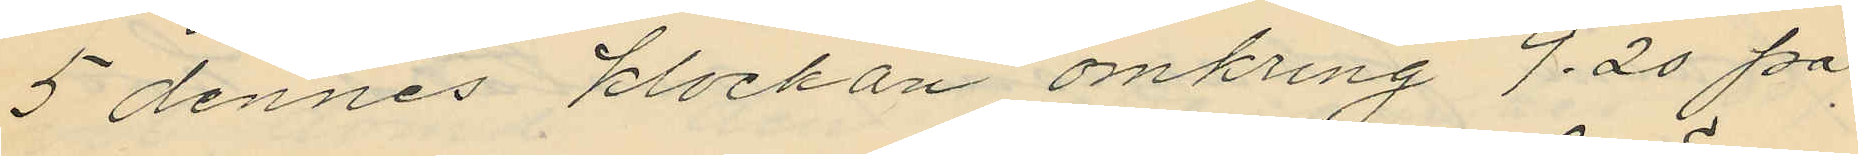5 dennes klockan omkring 9.20 på
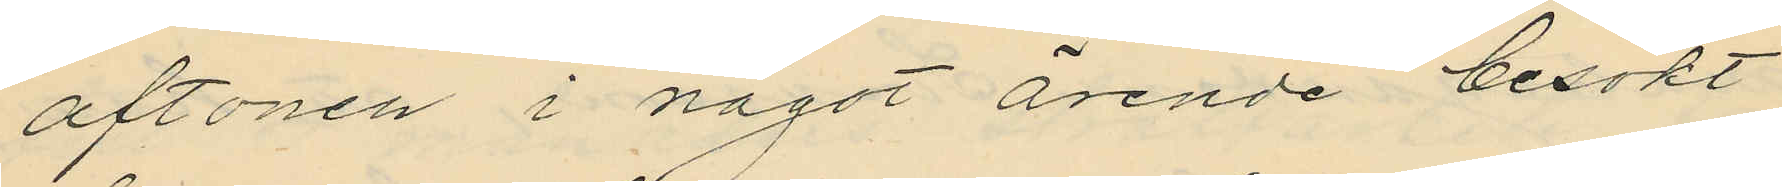aftonen i något ärende besökt
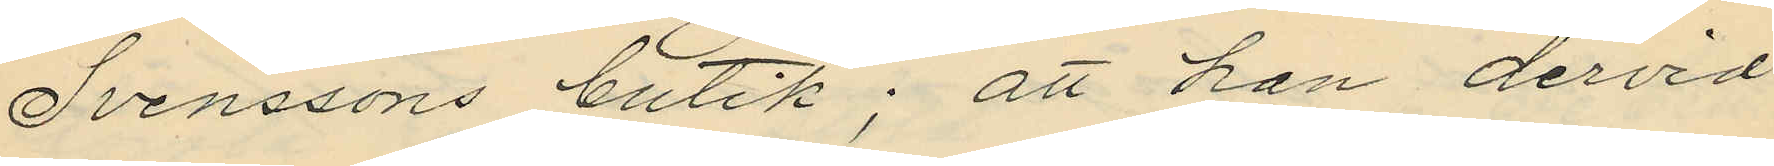Svenssons butik; att han dervid
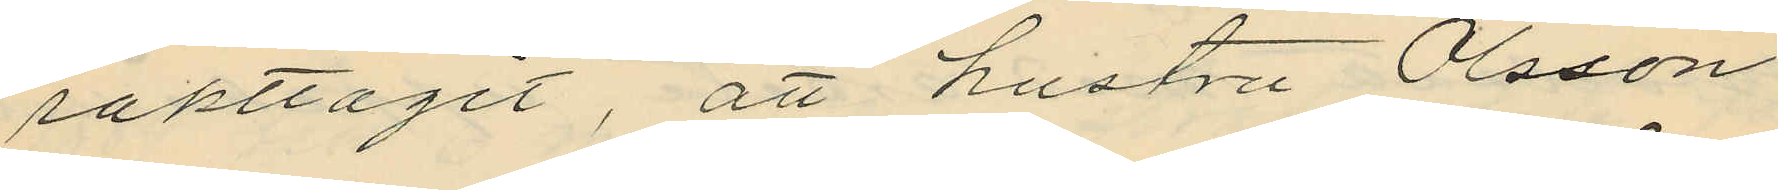iakttagit, att hustru Olsson
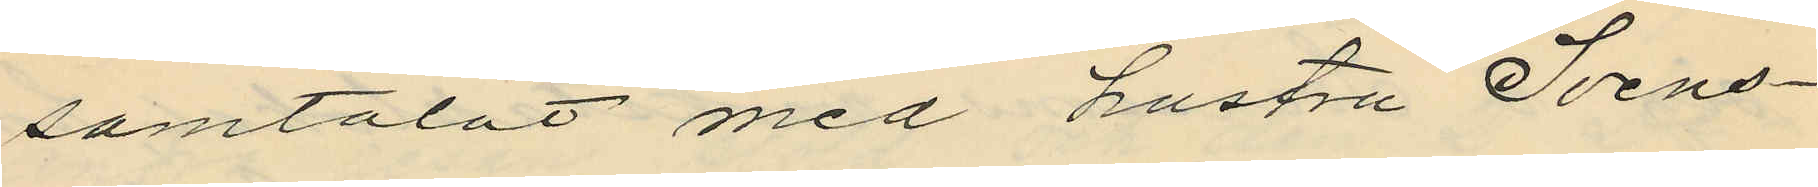samtalat med hustru Svens¬
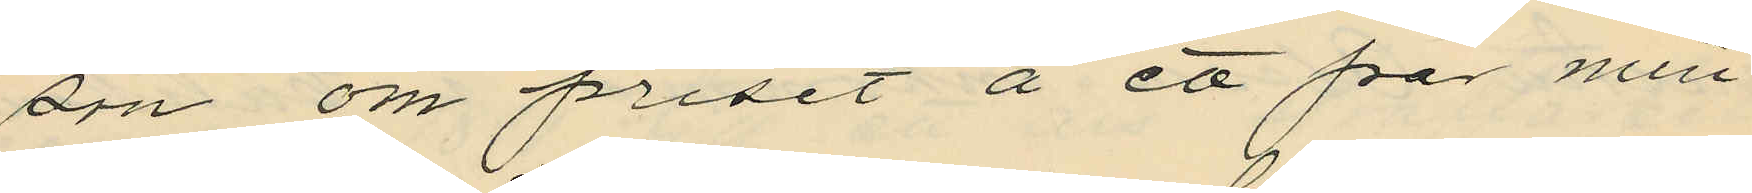son om priset å ett par min¬
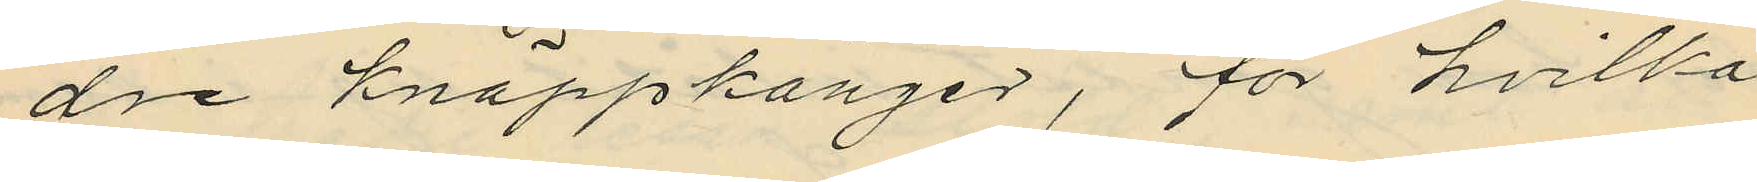dre knäppkänger, för hvilka
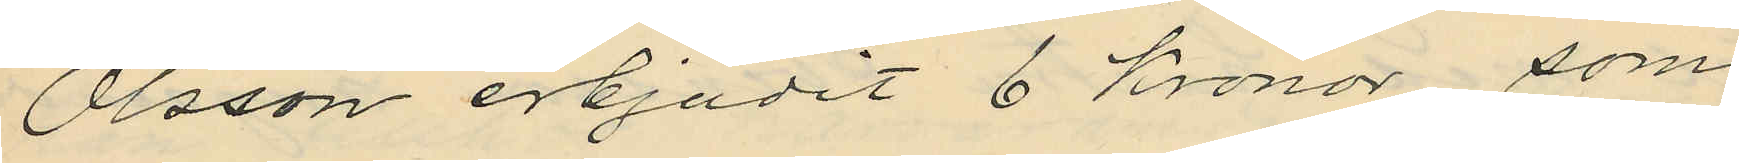Olsson erbjudit 6 kronor, som
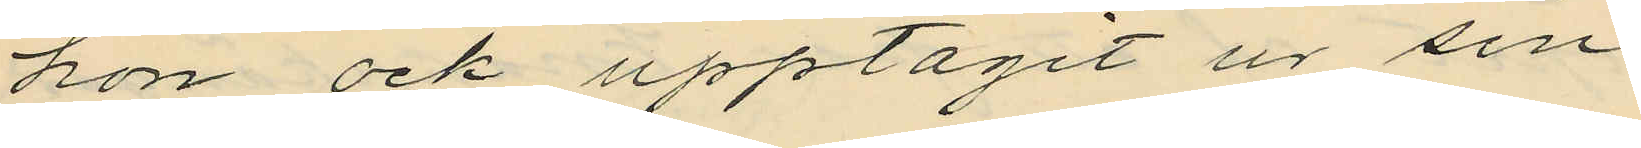hon ock upptagit ur sin
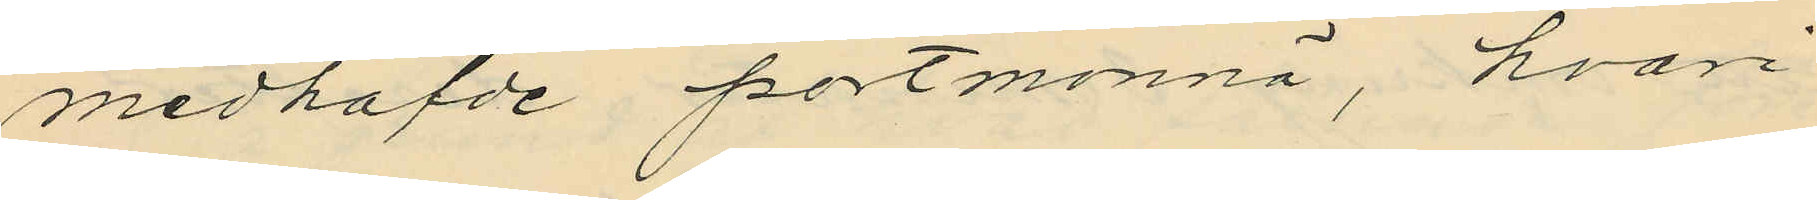medhafde portmonnä, hvari
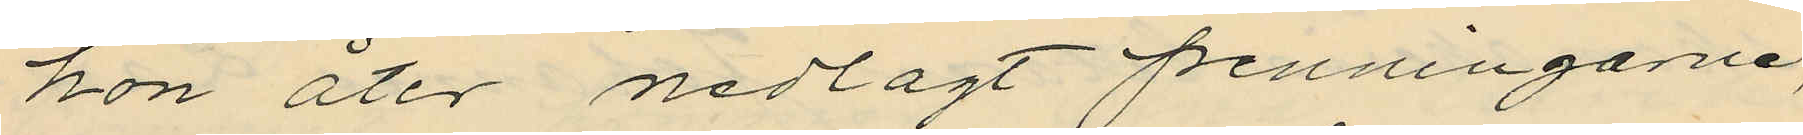hon åter nedlagt penningarne,
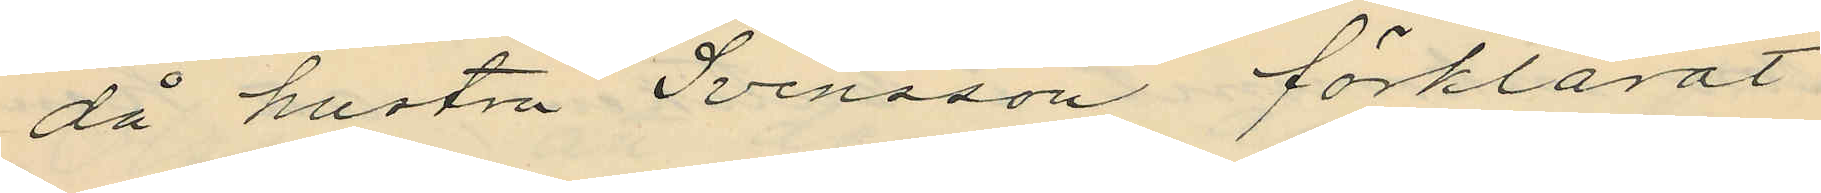då hustru Svensson förklarat
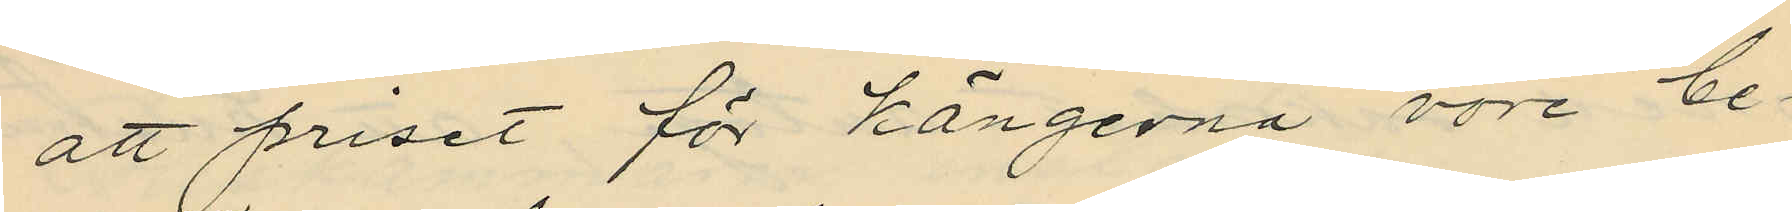att priset för kängerna vore be¬
